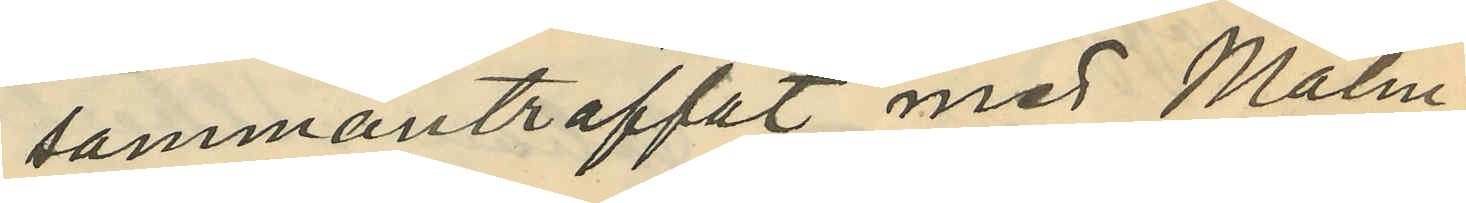sammanträffat med Malm¬
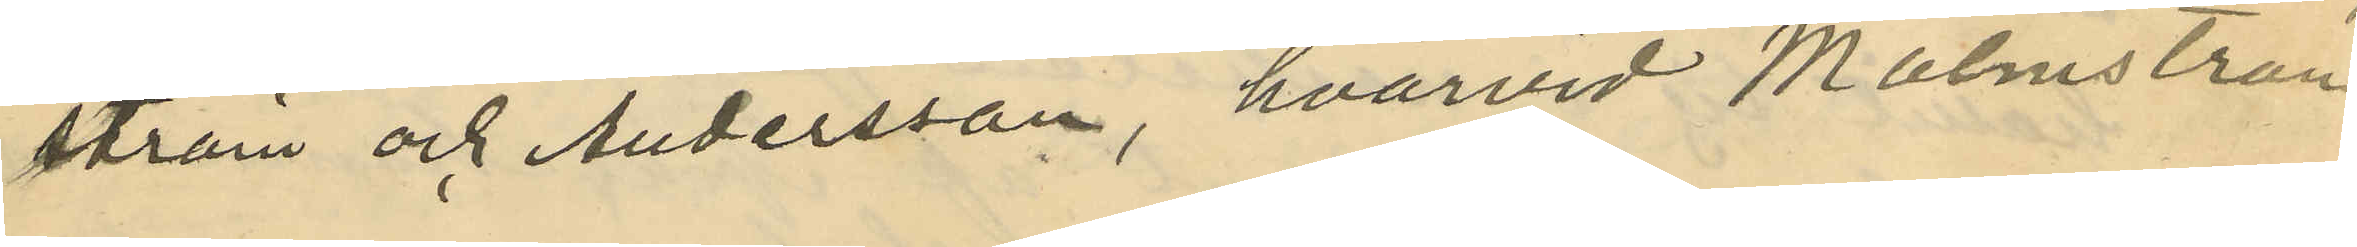ström och Andersson, hvarvid Malmström
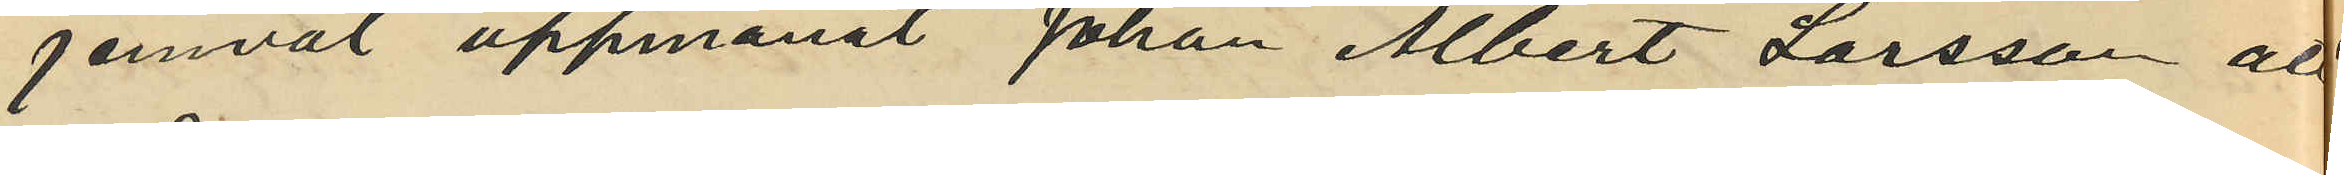jemväl uppmanat Johan Albert Larsson att
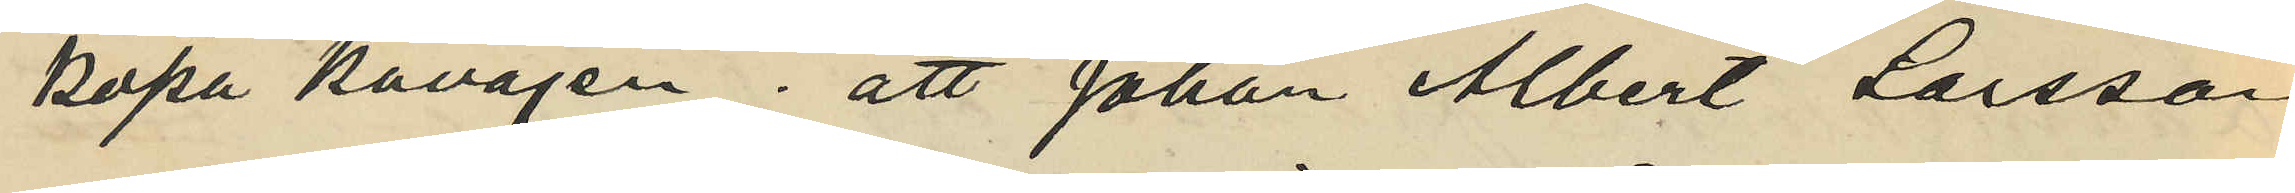köpa kavajen; att Johan Albert Larsson
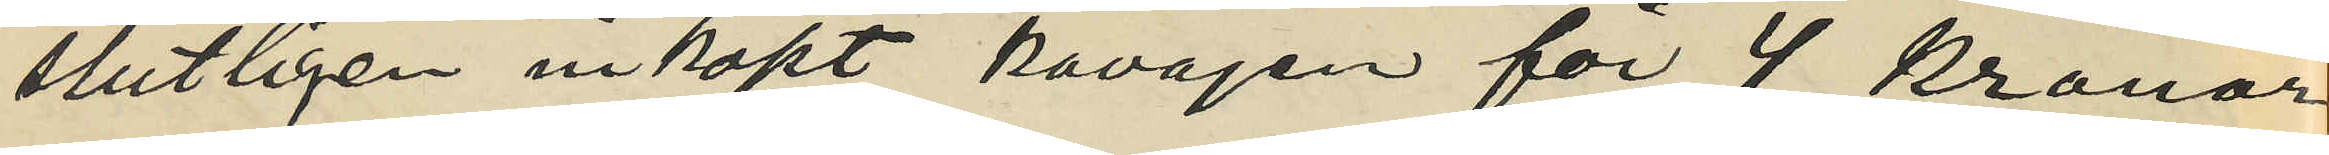slutligen inköpt kavajen för 4 kronor
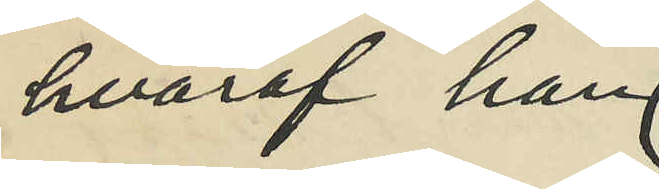hvaraf han
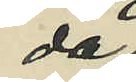då
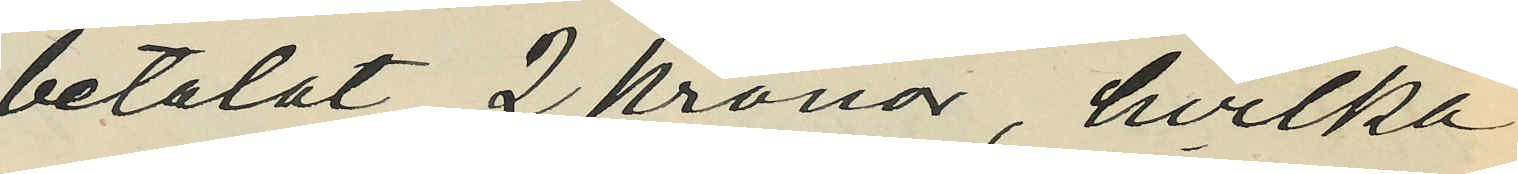betalat 2 Kronor, hvilka
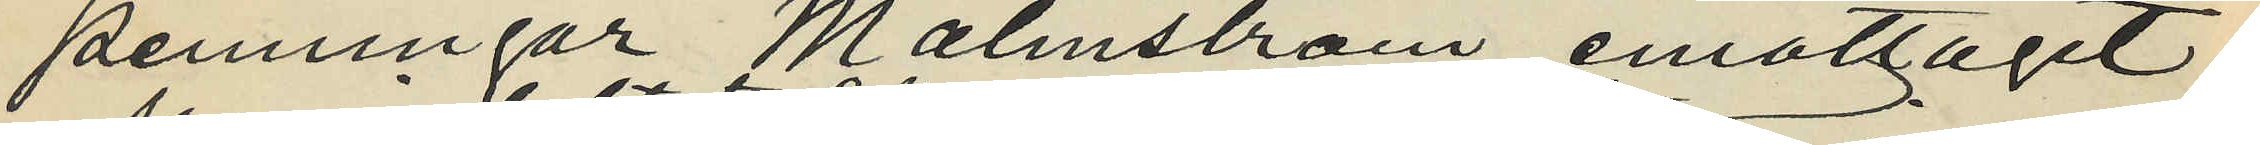penningar Malmström emottagit
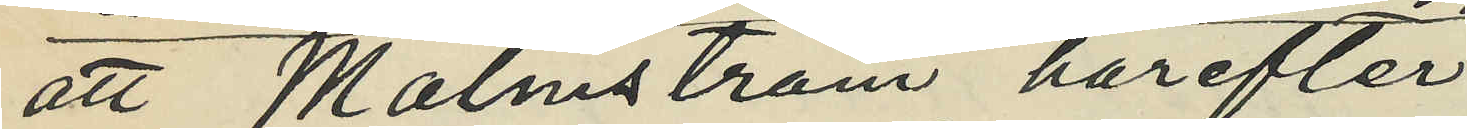att Malmström härefter
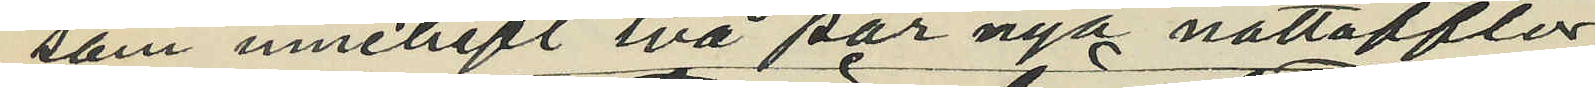som innehaft två par nya nattofflor
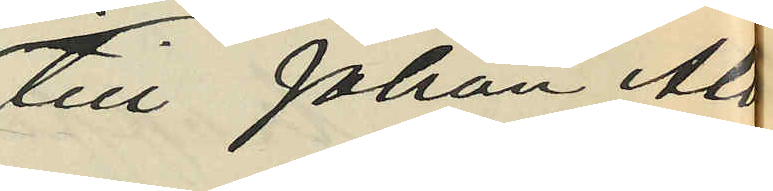till Johan Albert
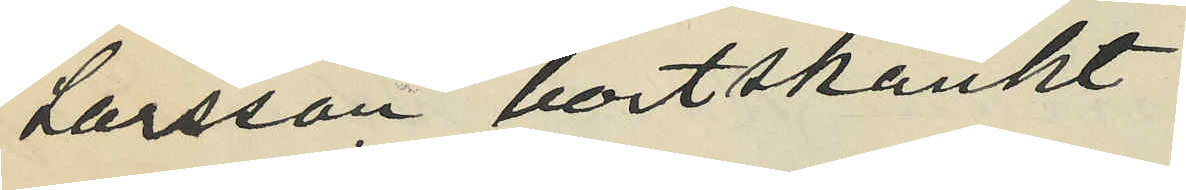Larsson bortskänkt
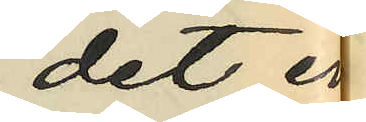det ena
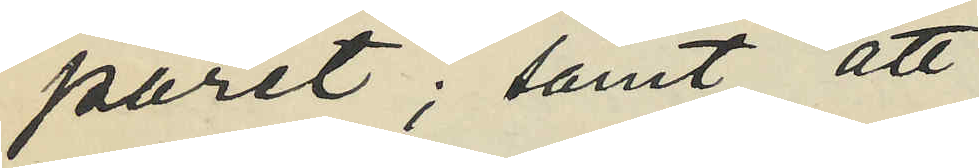paret; samt att
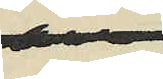då
